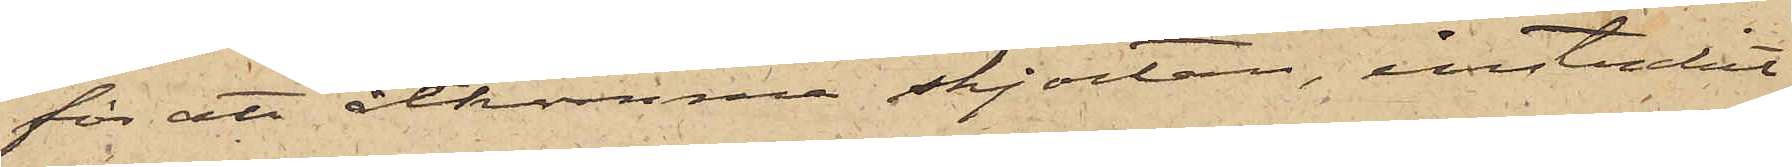för att åtkomma skjortan, instuckit
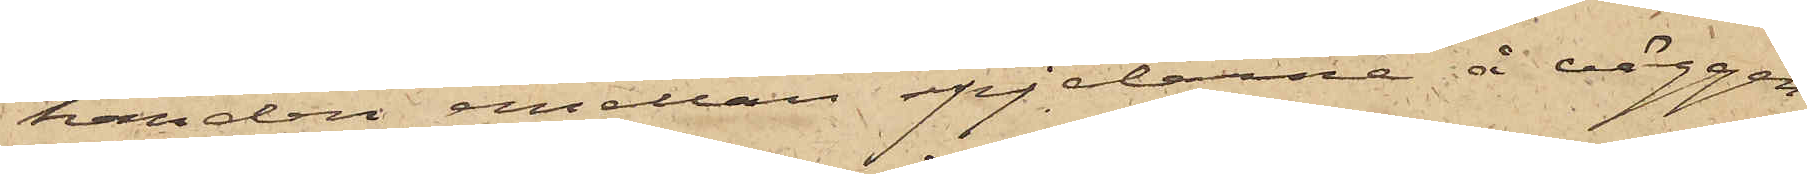handen emellan spjelorna å väggen
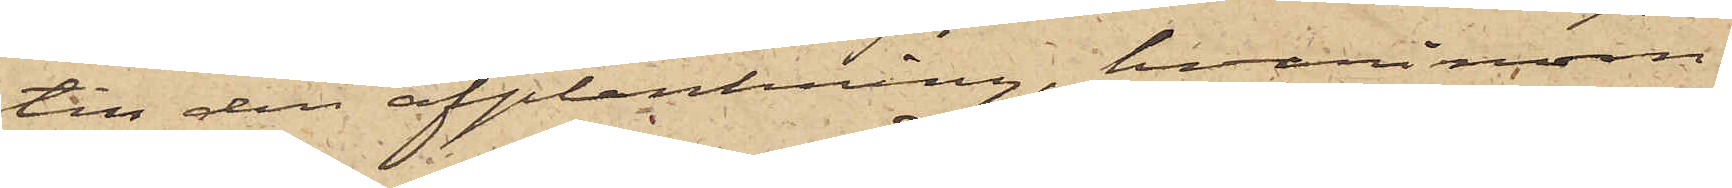till den afplankning, hvarinom
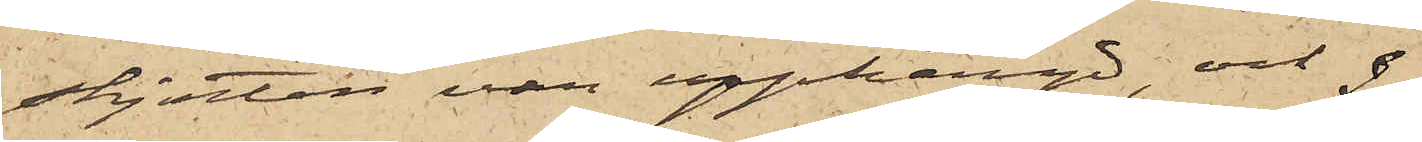skjortan var upphängd, och
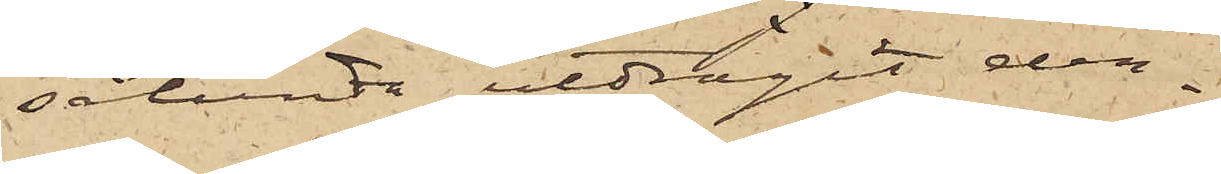sålunda utdragit den¬
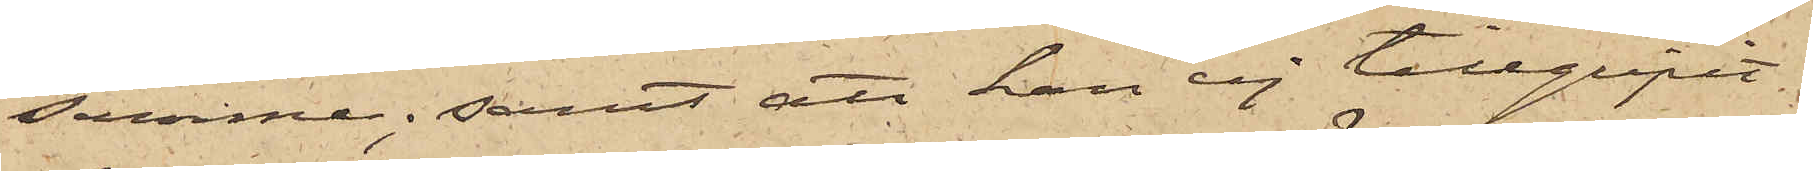samme; samt att han ej tillgripit
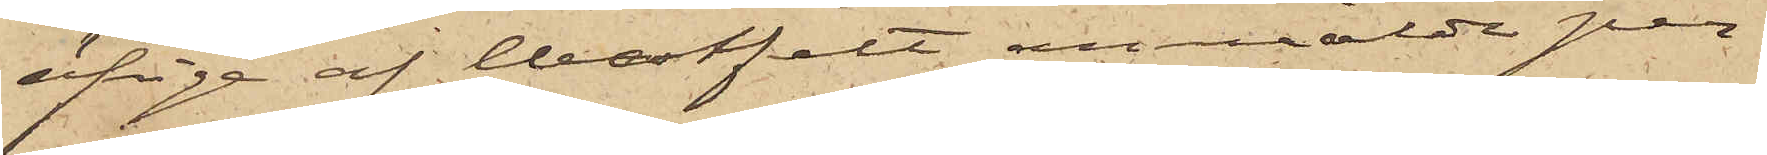öfriga af Westfelt anmälde per¬
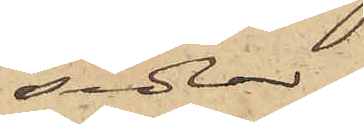sedlar.
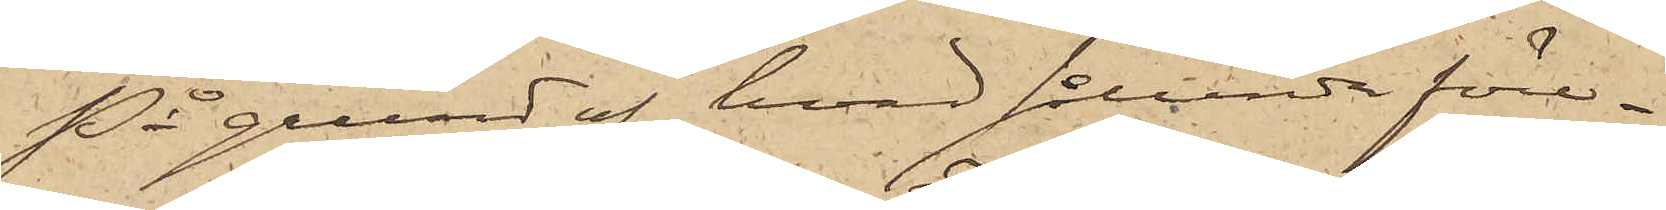På grund af hvad sålunda före¬
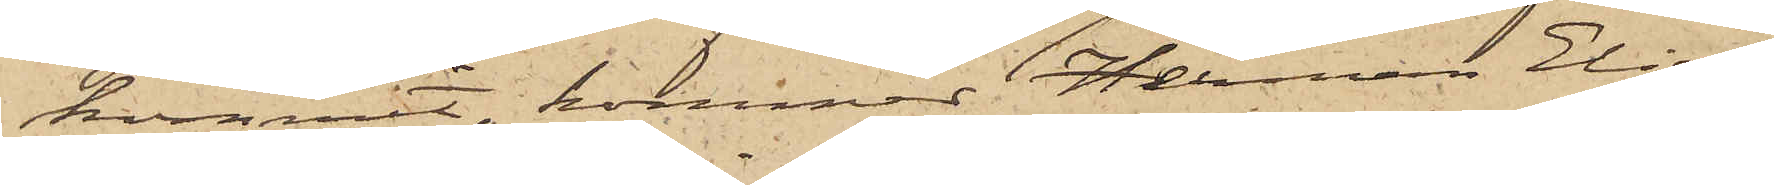kommit, kommer Herman Elias¬
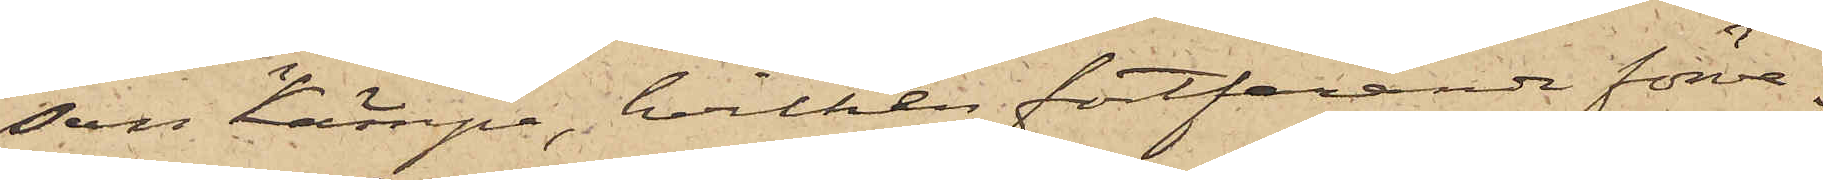son Kämpe, hvilken fortfarande förva¬
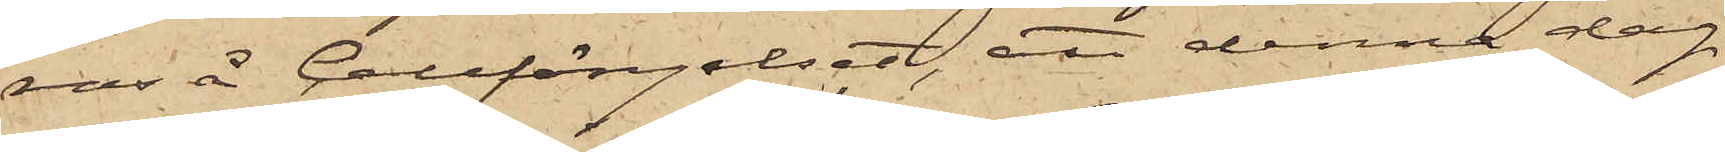ras å Cellfängelset, att denna dag
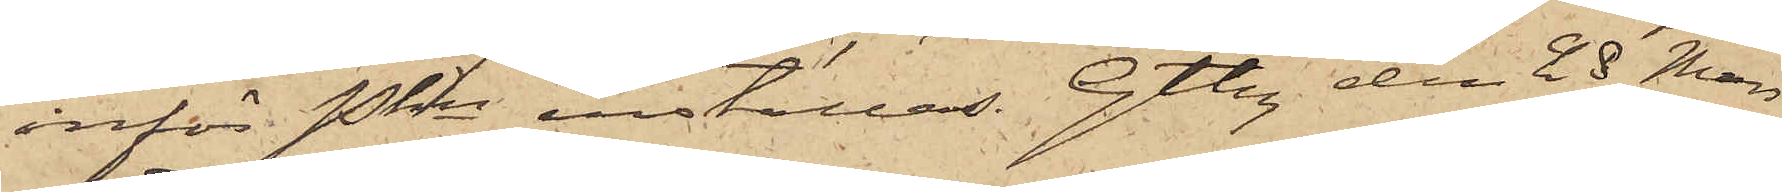inför Pkn inställas. Gtbg den 28 Mars
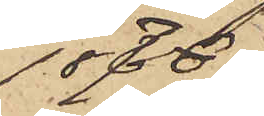1876.
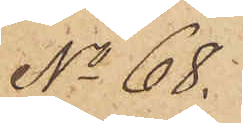No 68.
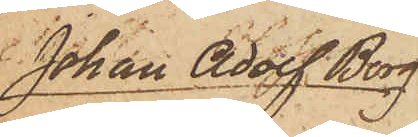Johan Adolf Borg
